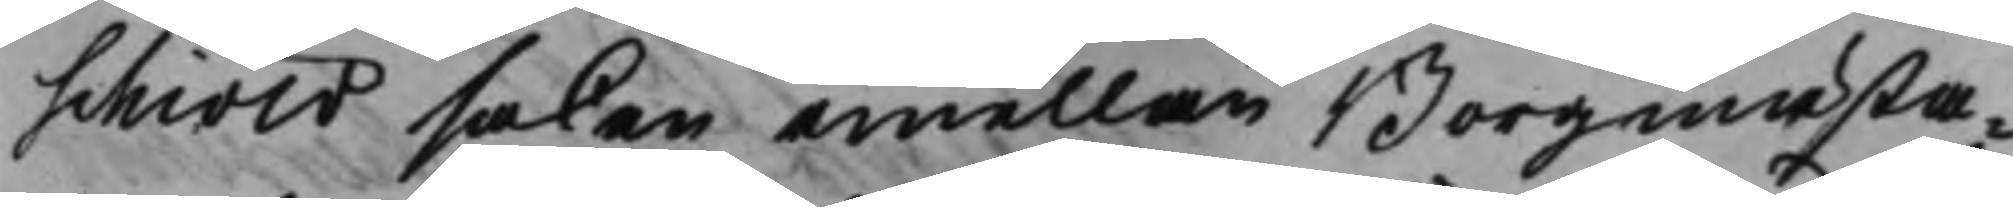schiöld saken emellan Borgmästa¬
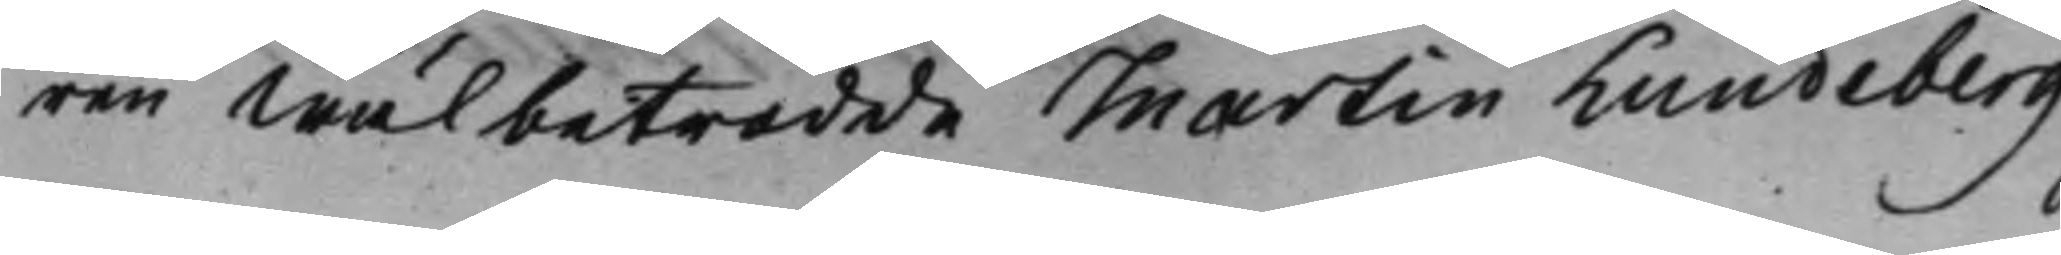ren Wälbetrodde Martin Lundeberg
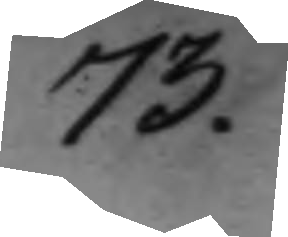73.
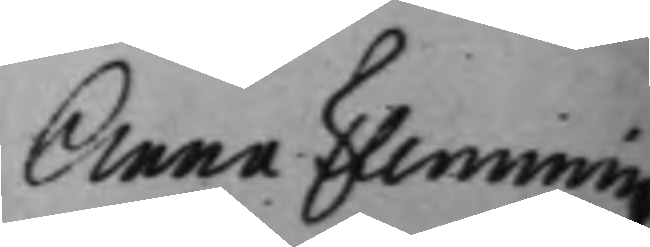Anna Flemmingz
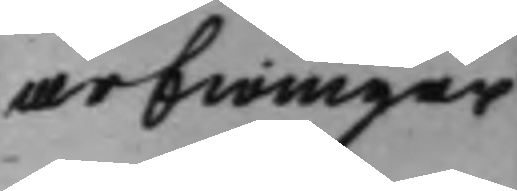arfwingar
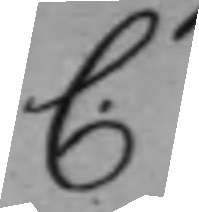C.
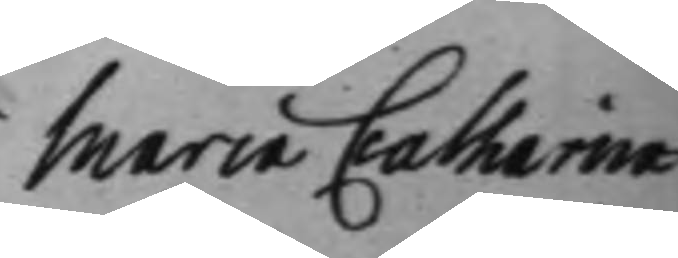Maria Catharina
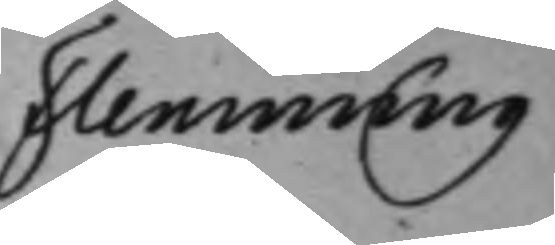Flemming
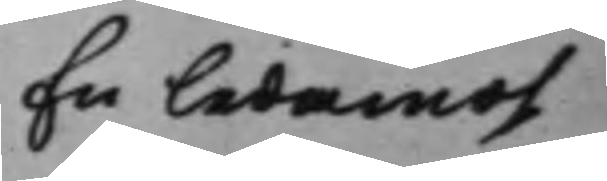En ledamot
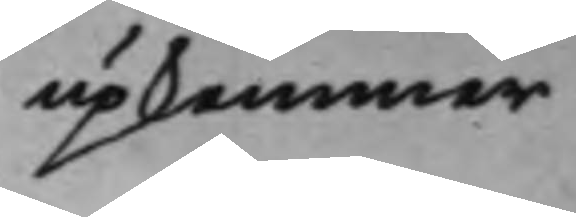upkommer
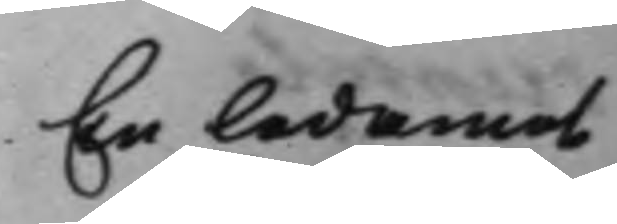En ledamot
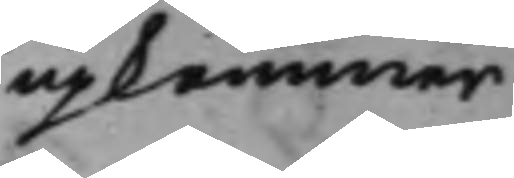upkommer
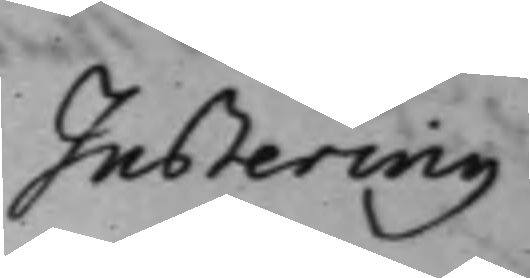Justering
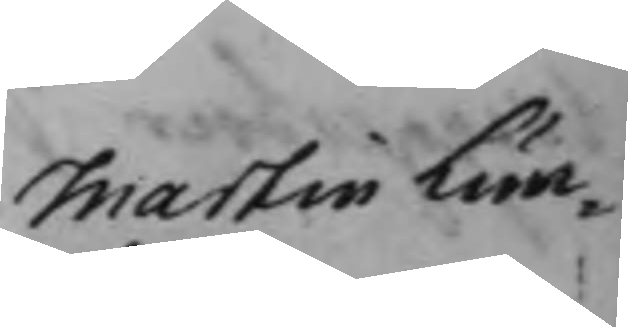Martin Lun¬
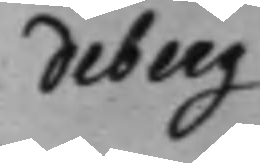deberg
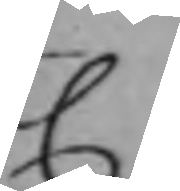C
